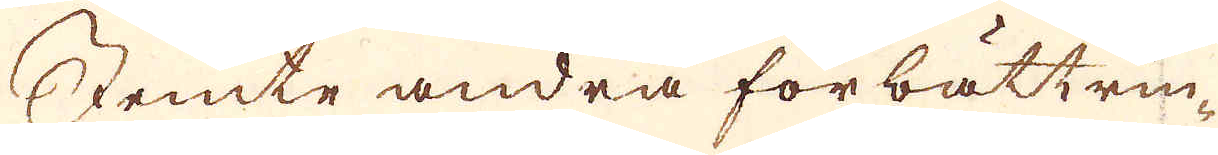Jemte andra förbättrin-
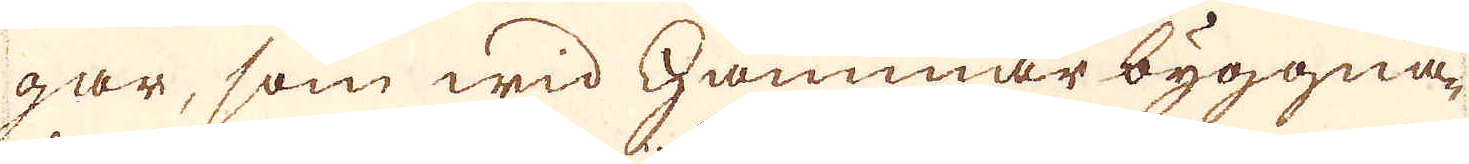gar, som wid Hammar byggna-
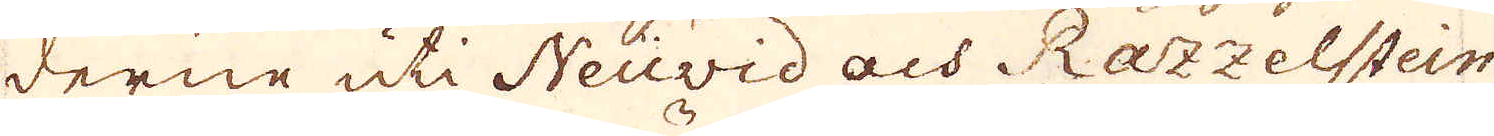derne uti Neuvid och Ratzelstein
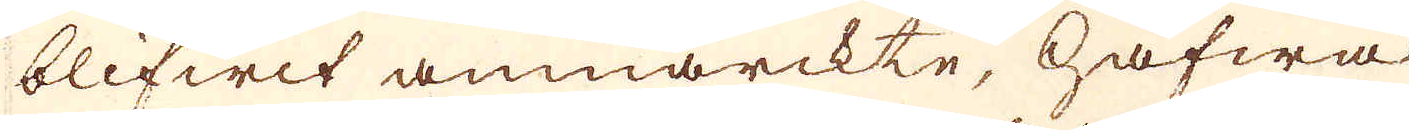blifwit anmärckte, hafwa
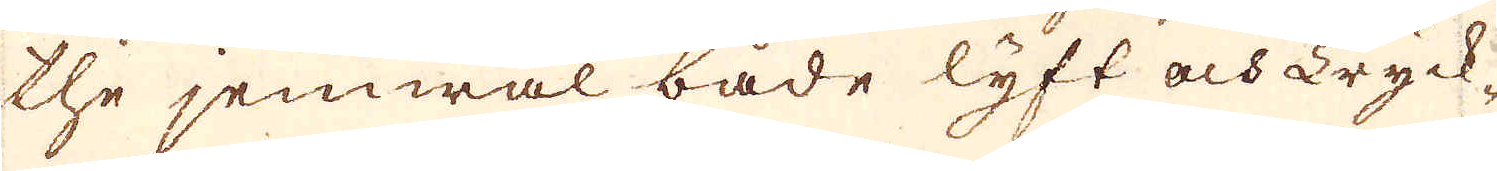the jemwäl både lyft och Tryck-
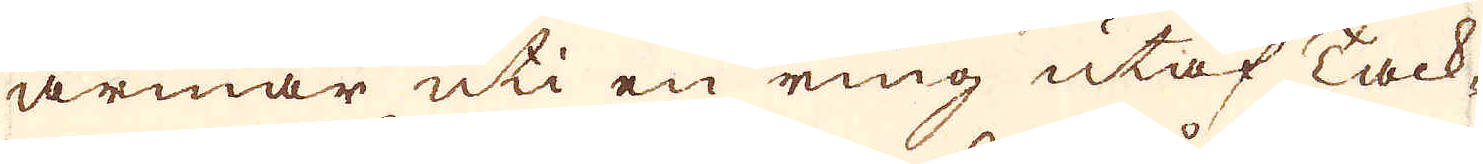ärmar uti en ring utaf Tack-
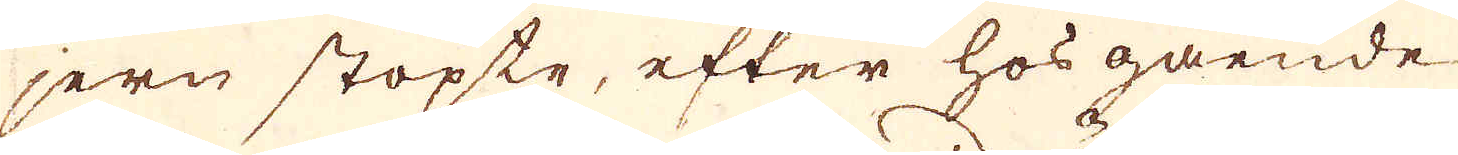jern stöpte, efter hos gående
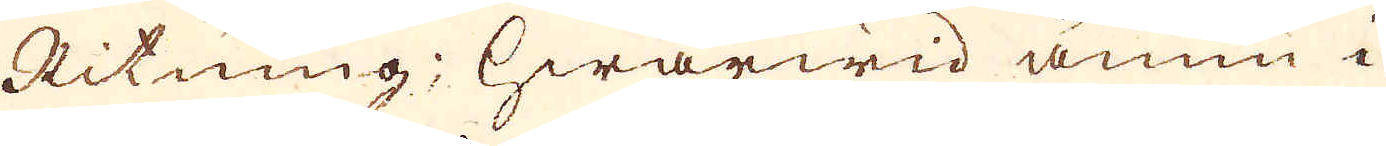Ritning; hwarwid ännu i
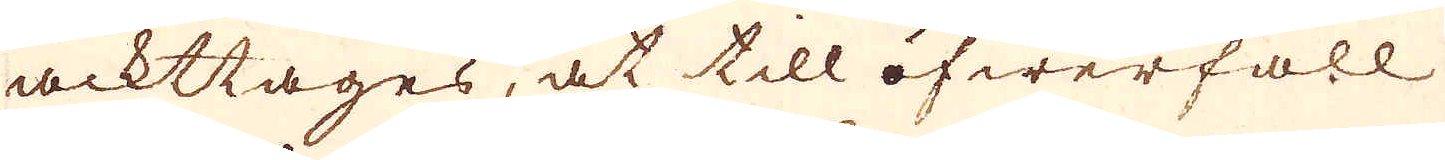ackttages, at till öfwerfall
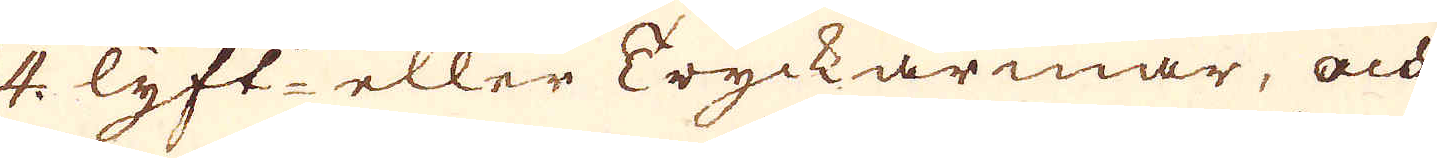4. lyft eller Tryckarmar, och
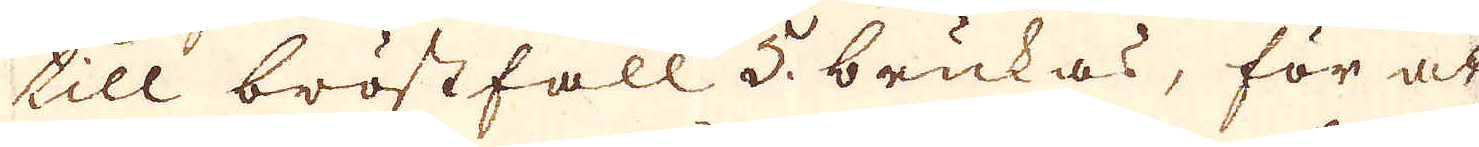till bröstfall 5. brukas, för at
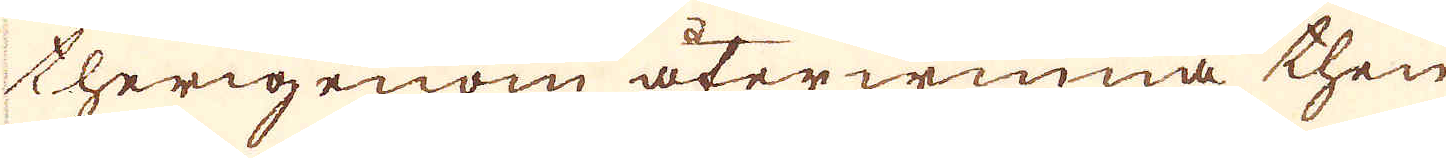therigenom återwinna then
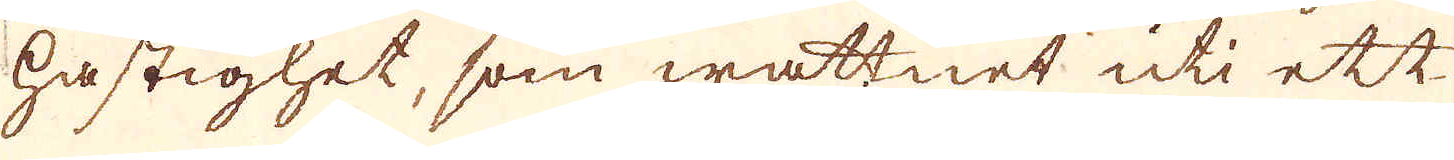hastighet, som wattnet uti ett
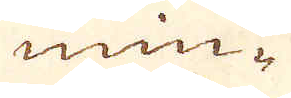min-
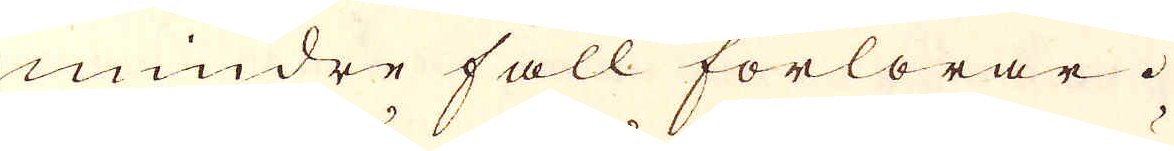mindre fall förlorar.
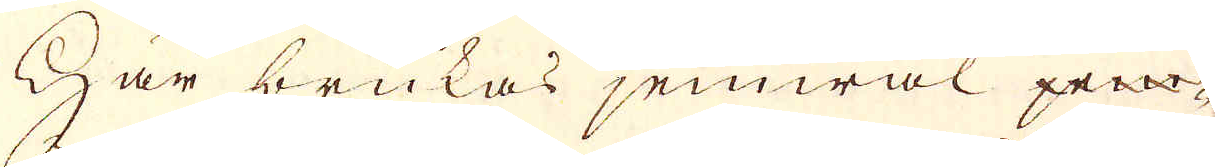Här brukas jemwäl jem-
